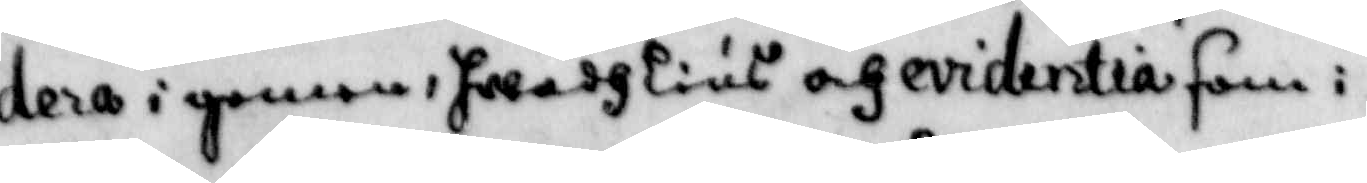dera i genom, hwadh lius och ecidentia som i
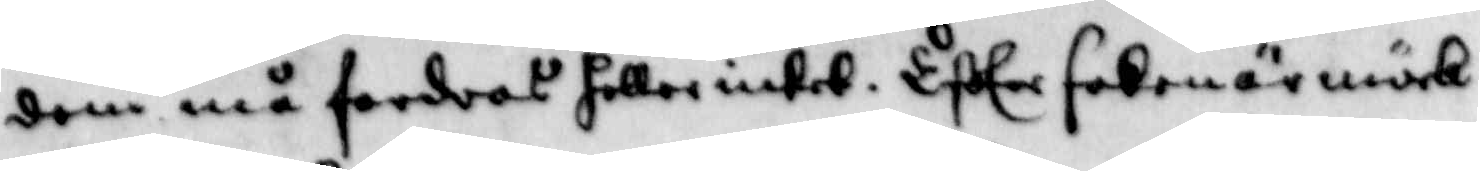dem må fordras heller intet. Efter saken är mörk
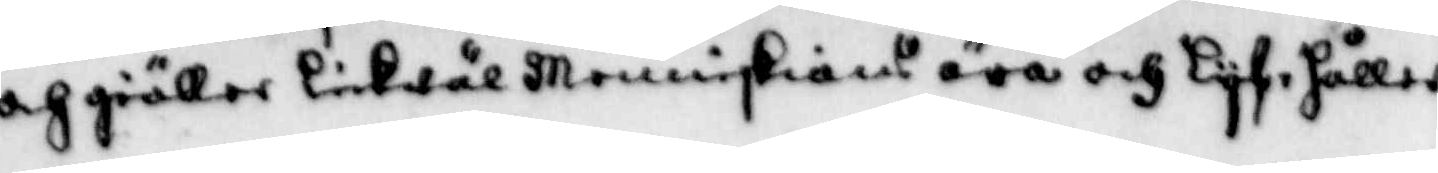och giäller likwäl Menniskians ära och Lyf, håller
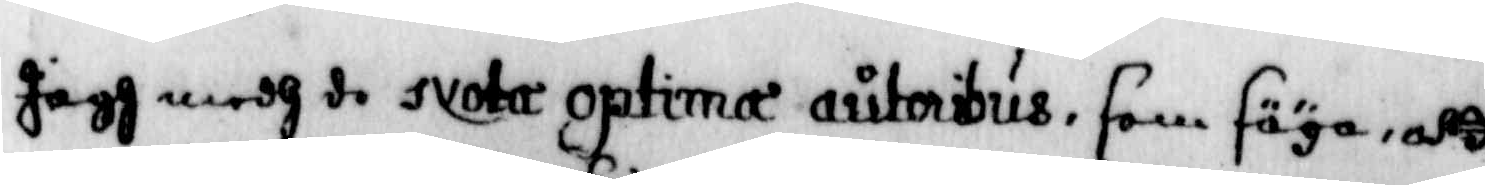jagh medh de svotar optima autoribus, som säga, att
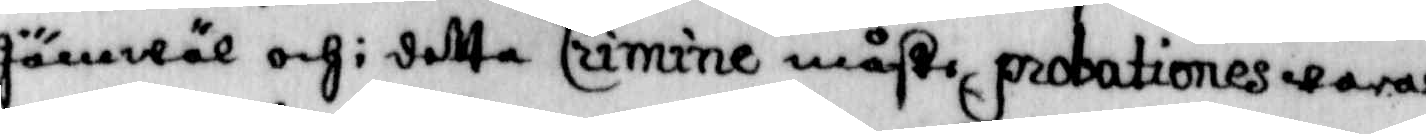jämwäl och i detta Crimine maste probationes wara
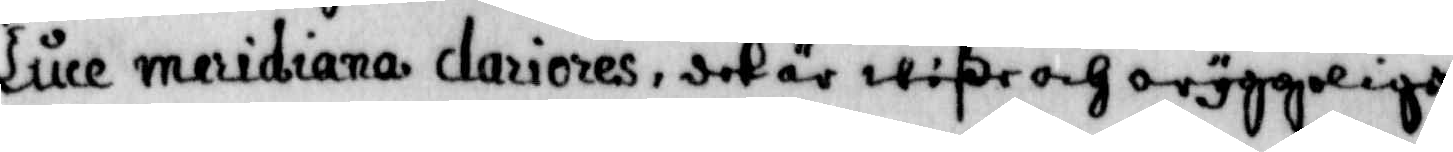luce meridianan dariores, det är wiße och oryggeliga
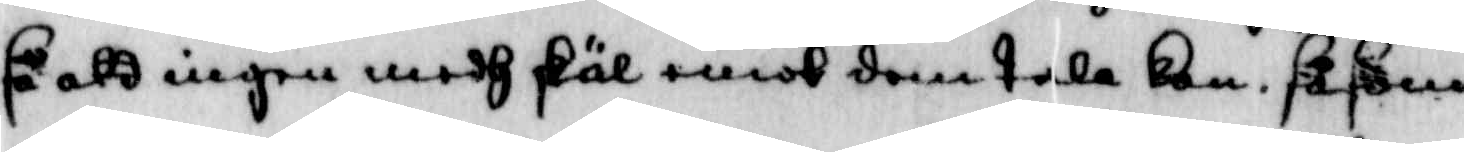så att ingen medh skäl emot dem tala kan, såsom
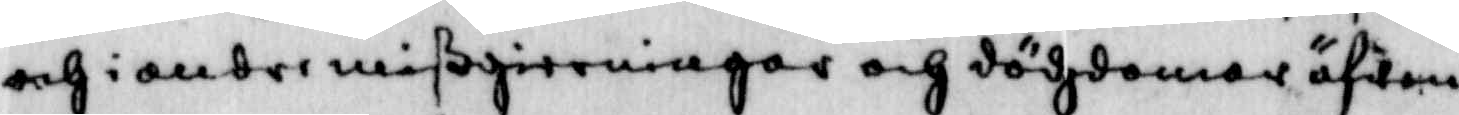och i andre mißgierningar och dödzdomar äfwen
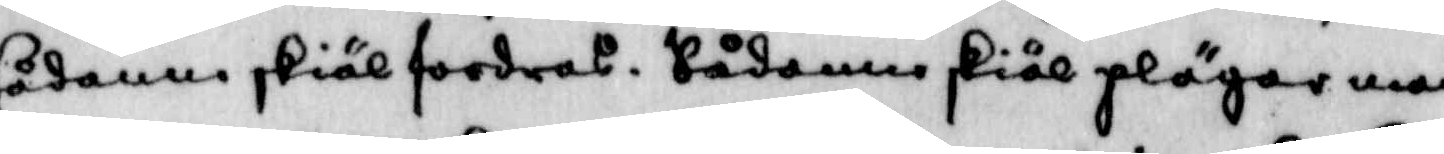sådane skiäl fordras, Sådanne skiäl plägar man
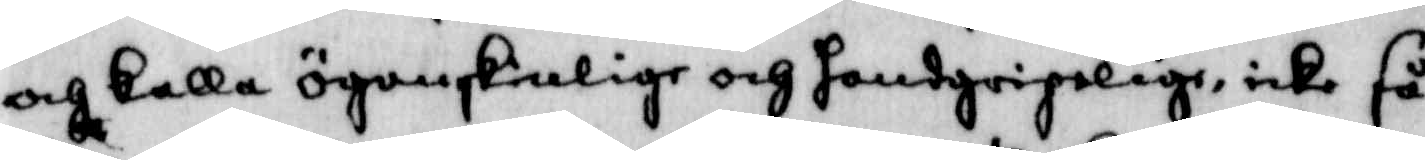och kalla ögonskiälige och hansgripelige, icke så
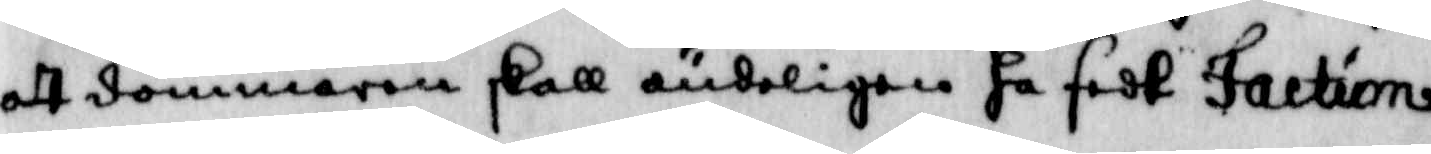att dommaren skall ändeligen ha sedt Jaction
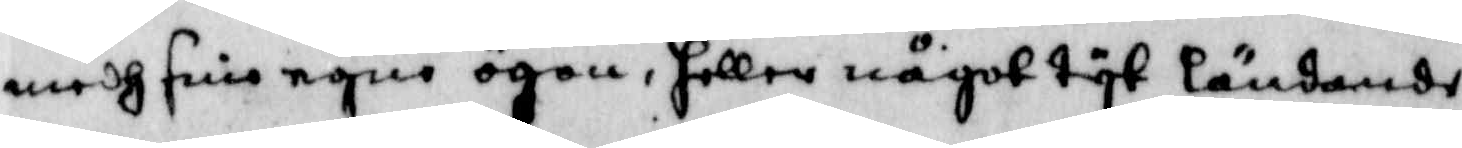medh sine enge ögon, heller något tyt ländandes
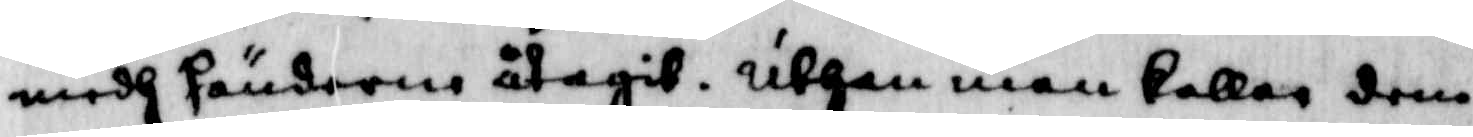medh tänderne åtagit, Uthan man kallar dem
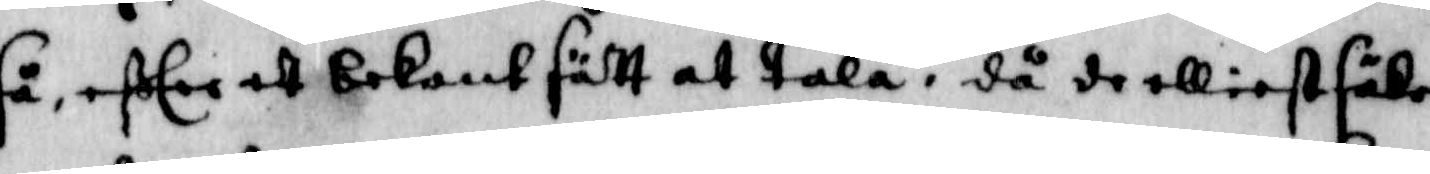så, efter ett bekant sätt at tala, då de elliest säker
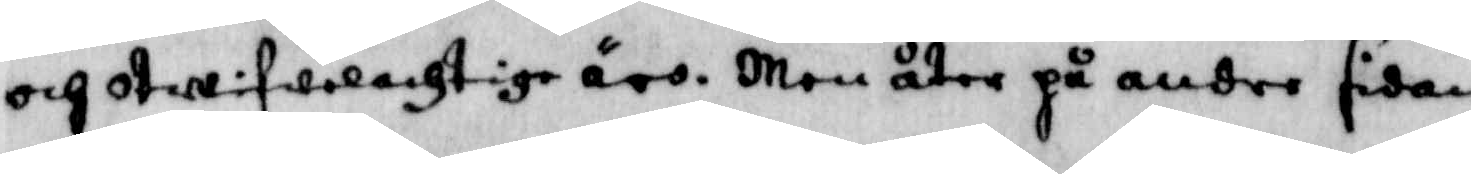och otwifwelachtige äro. Men åter på andre sidan
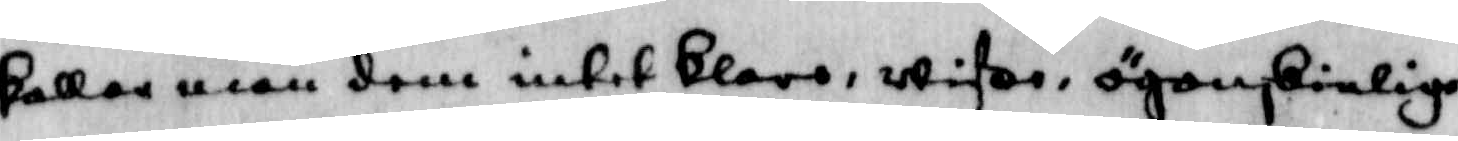kallar man dem intet blaro, wisor, ögonskieliga
